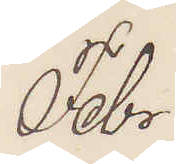Febr.
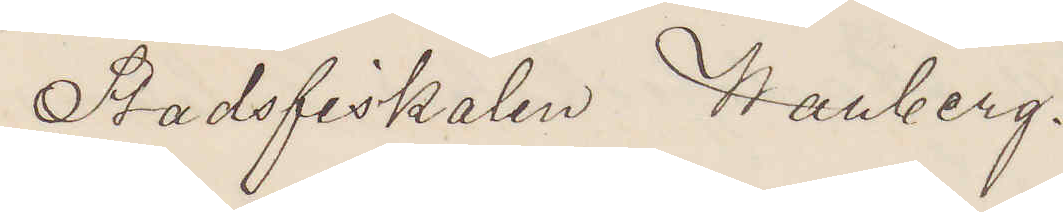Stadsfiskalen Warberg.
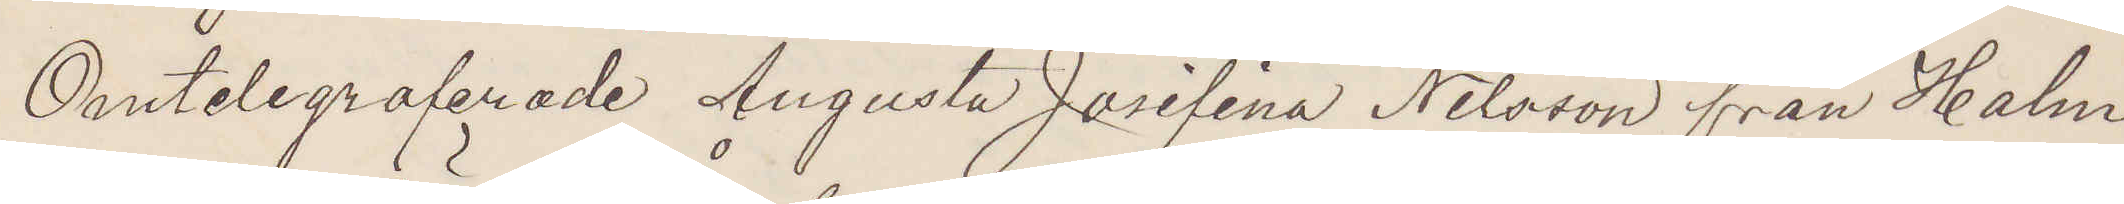Omtelegraferade Augusta Josefina Nilsson från Halm¬
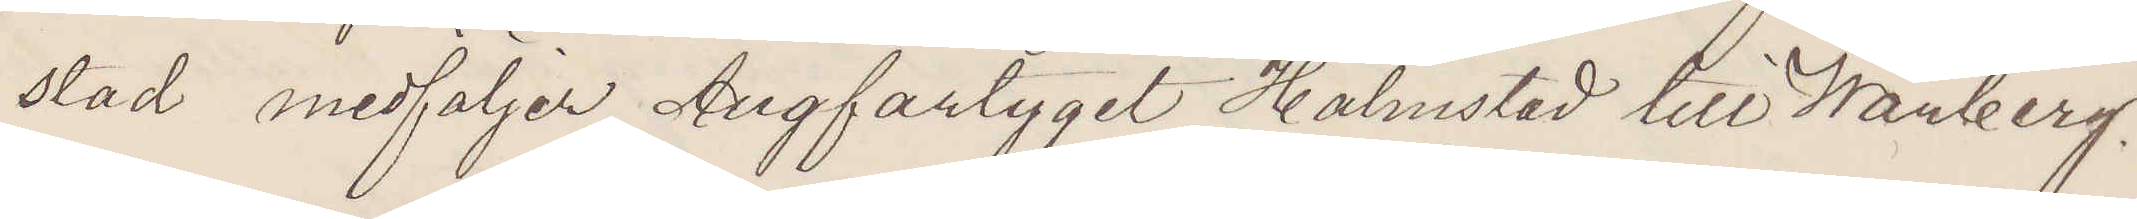stad medföljer Ångfartyget Halmstad till Warberg.
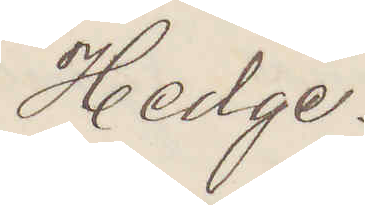Hedge.
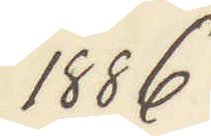1886.
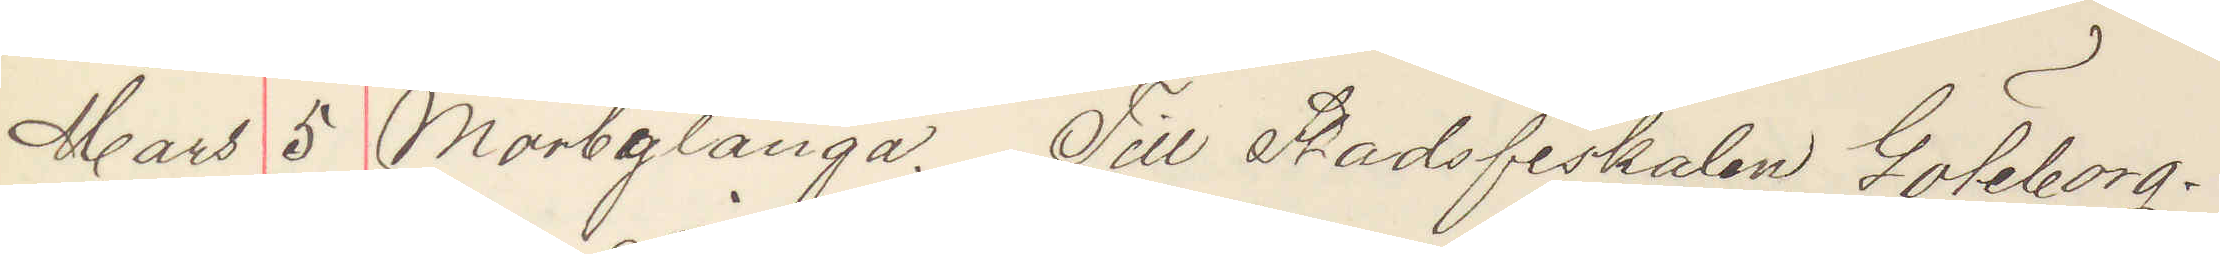Mars 5 Mörbylånga. Till Stadsfiskalen Göteborg.
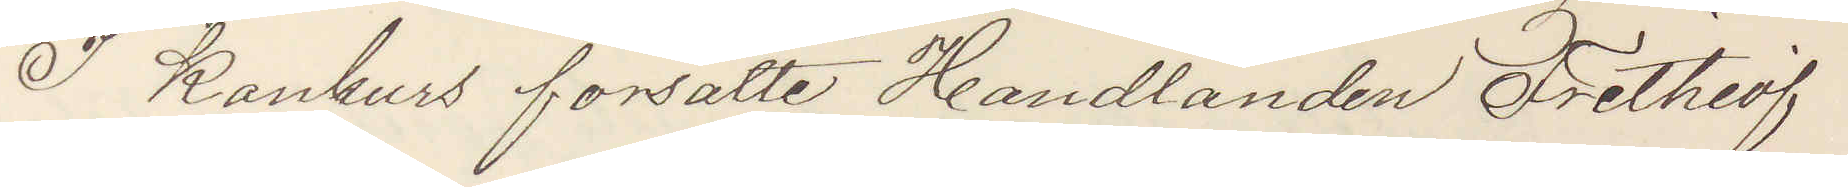I Konkurs försatte Handlanden Frithiof
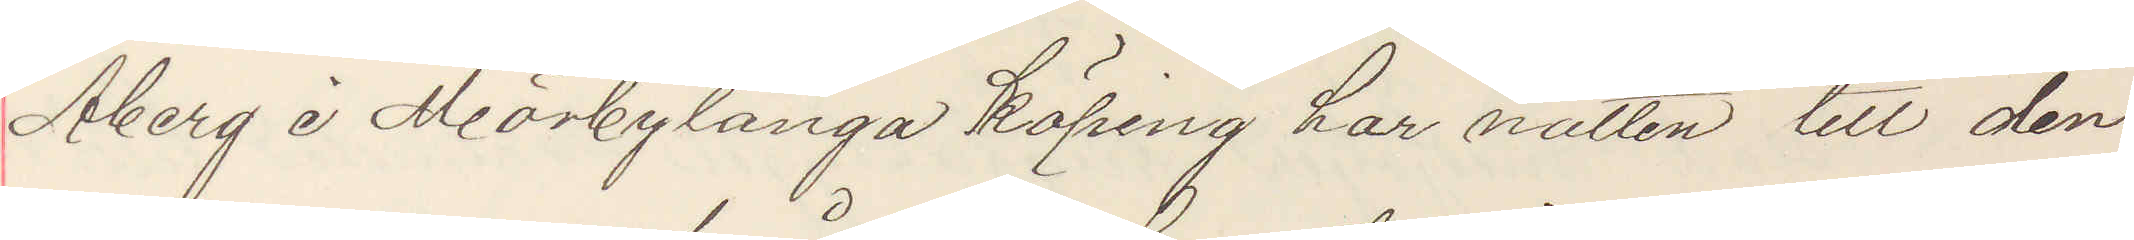Åberg i Mörbylånga köping har natten till den
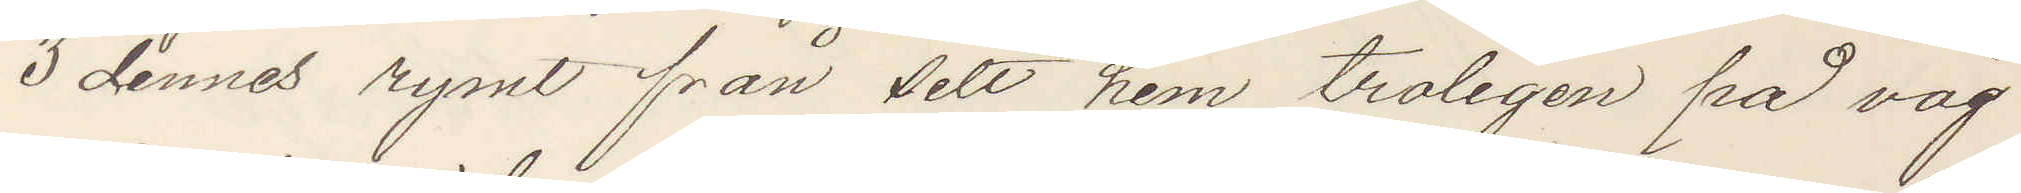3 dennes rymt från sitt hem troligen på väg
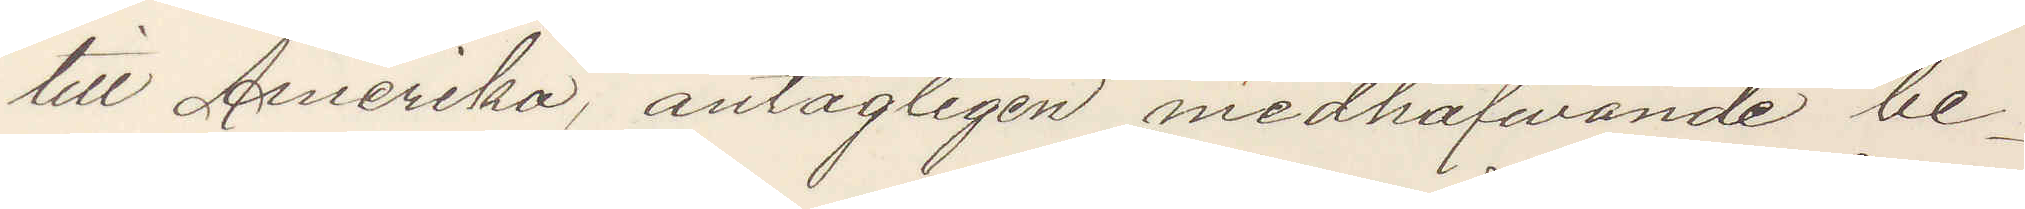till Amerika, antagligen medhafwande be¬
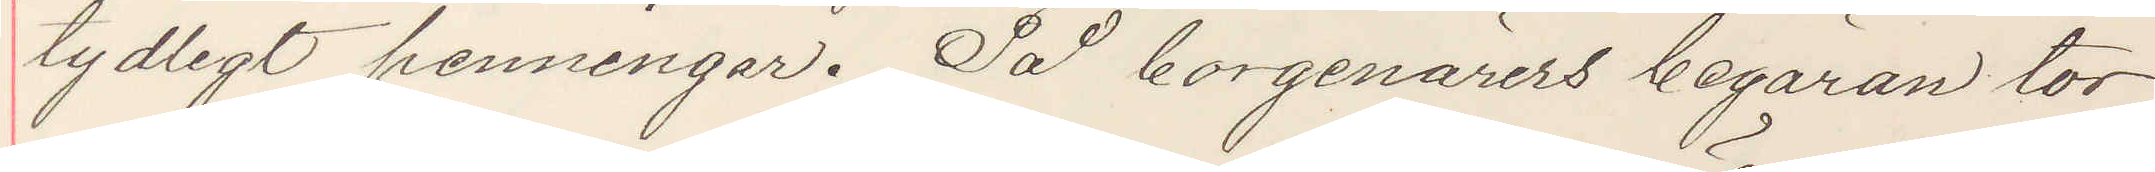tydligt penningar. På borgenärers begäran tor¬
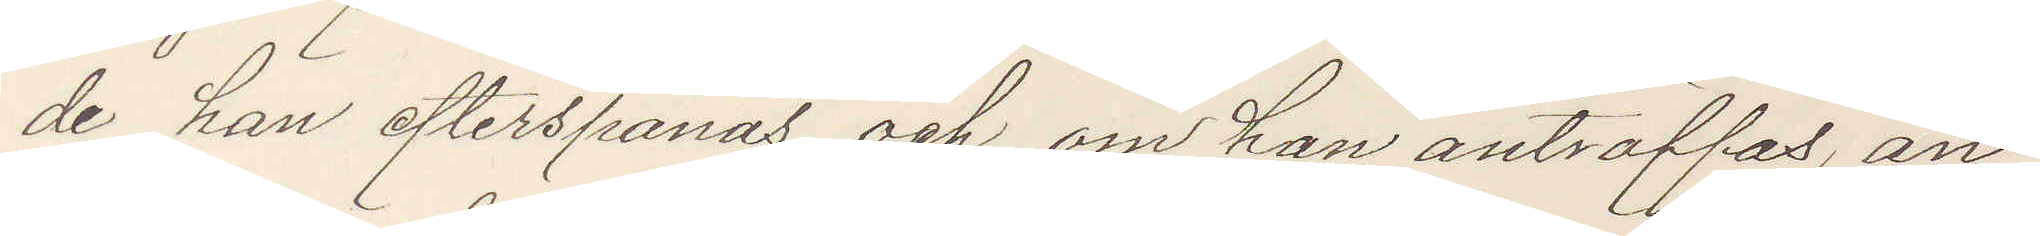de han efterspanas och om han anträffas, an¬
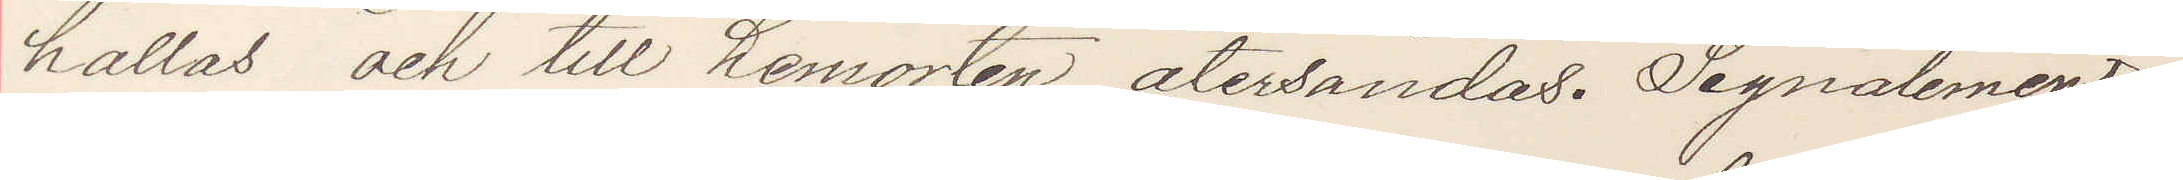hållas och till hemorten återsändas. Signalement
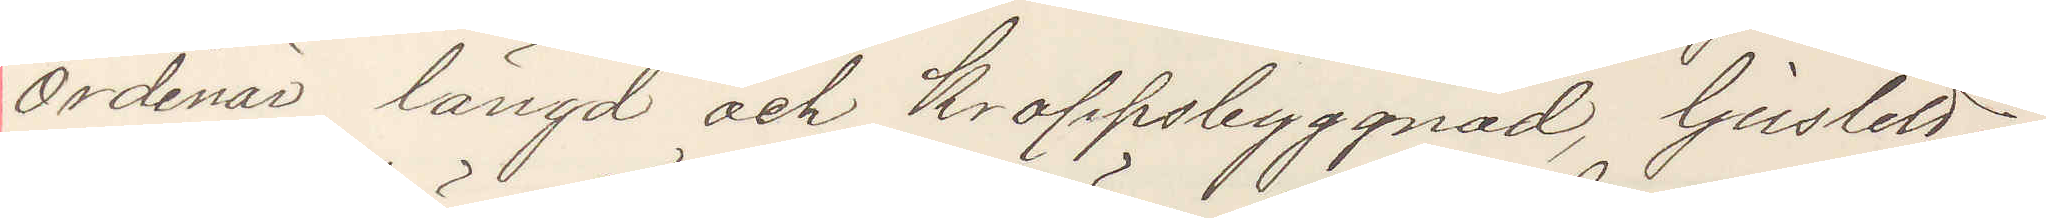Ordinär längd och kroppsbyggnad, ljuslett,
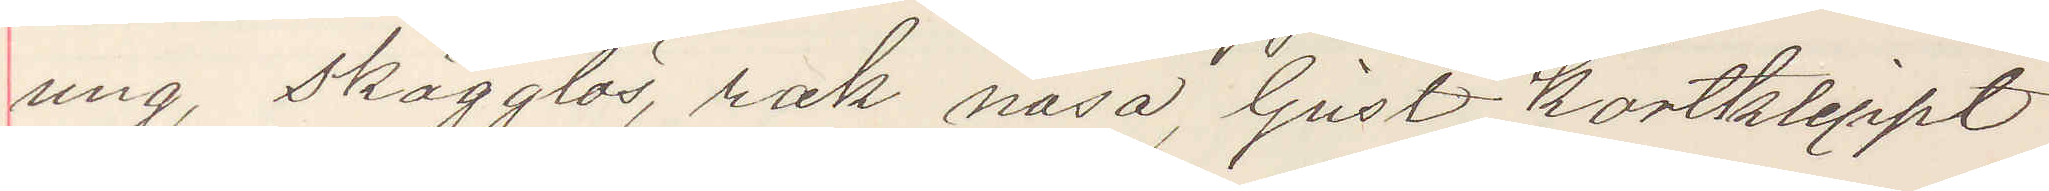ung, skägglös, rak näsa, ljust kortklippt
